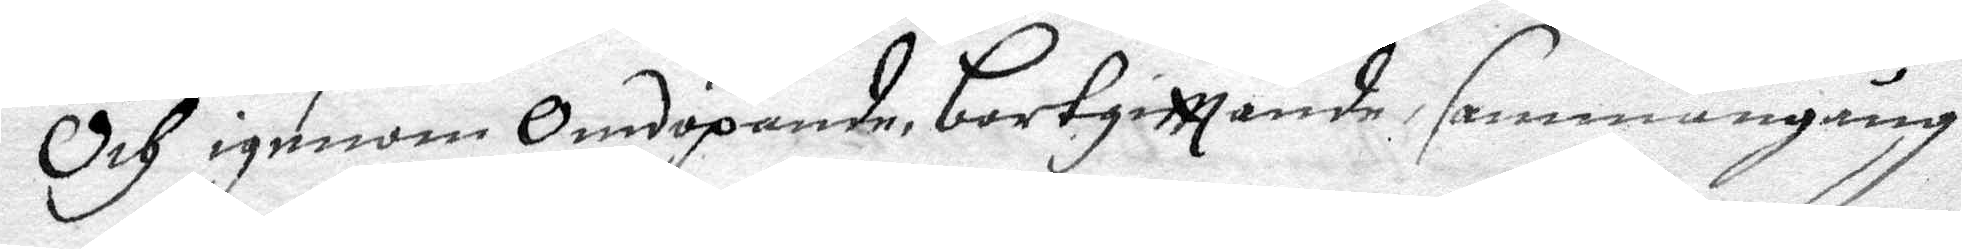Och igenom omdöpande bortgittande sammangång
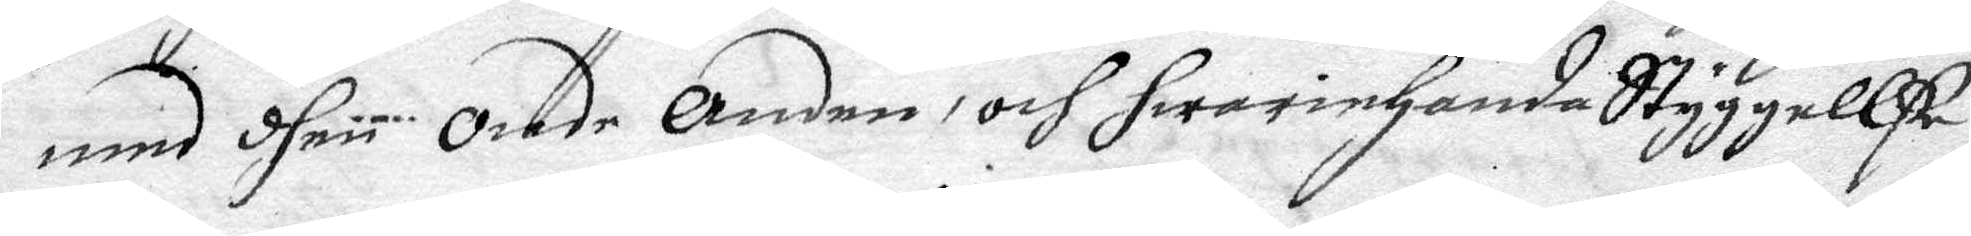med dhen onde anden och hwariehanda Styggelle
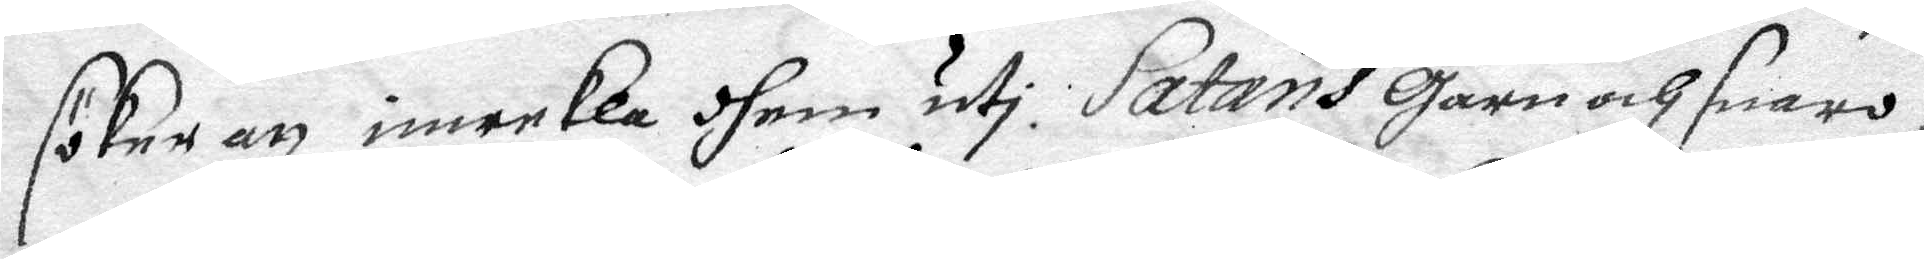söker att inwekla dhem uti Satans garn och snaro,
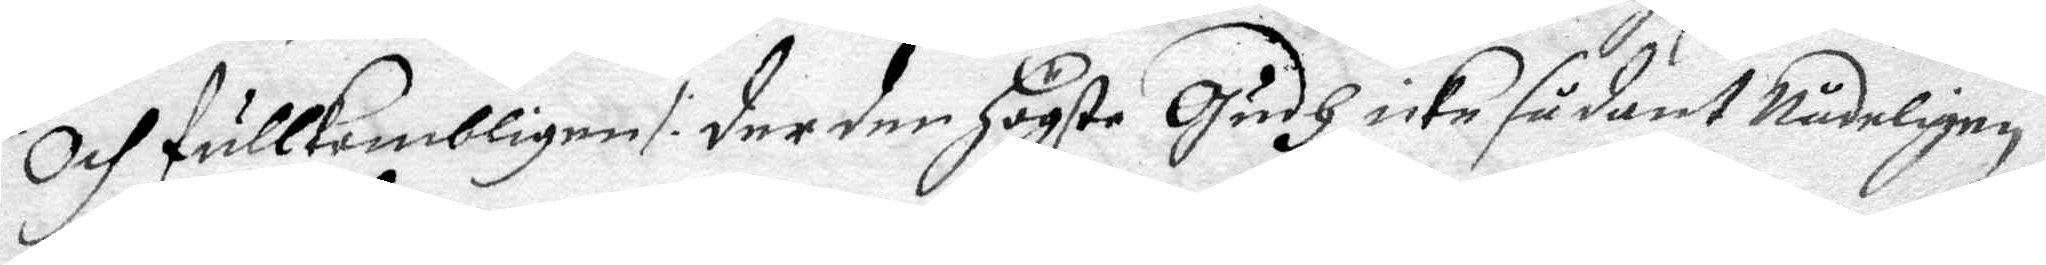och fullkombligen /: der den högste Gudh icke sådant Nådeligen
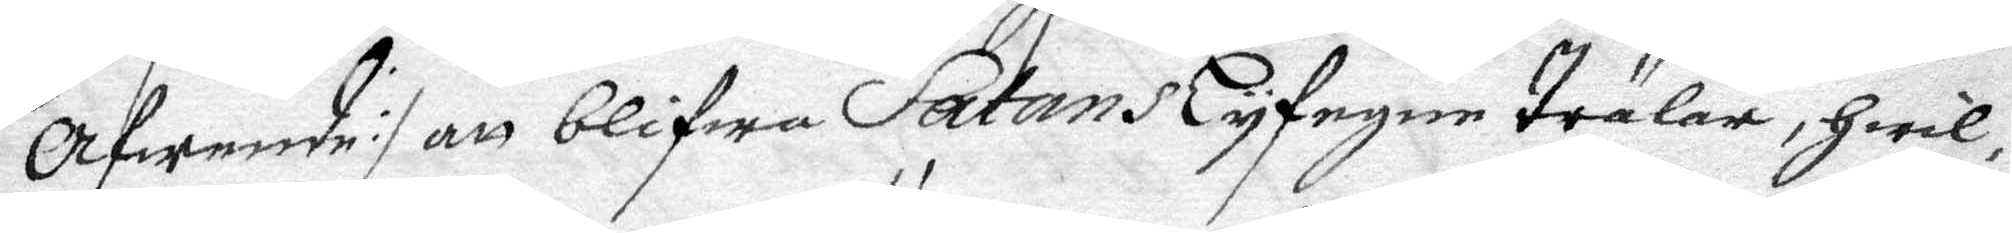Afwene :/ att blifwa Satans lytegne Trälar, hwil¬
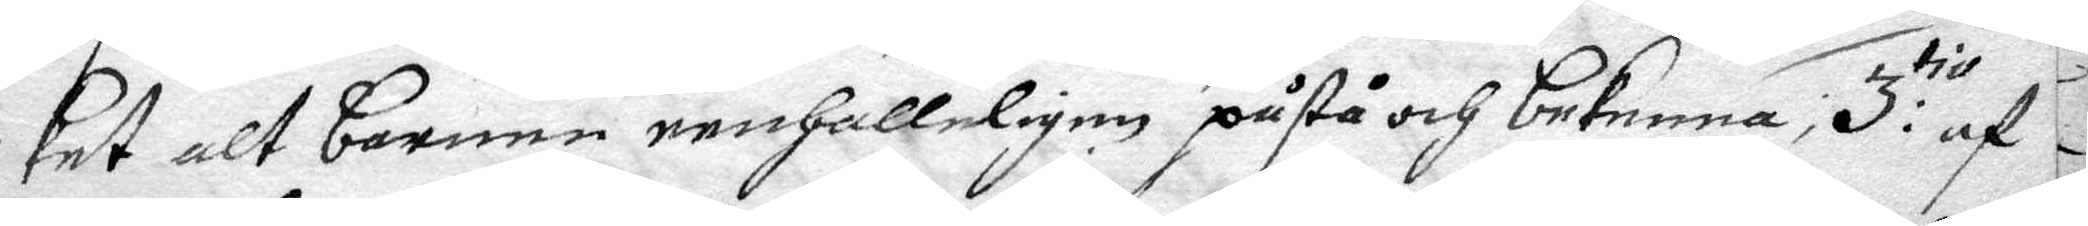ket alt barnen renhälleligen påstå och bekenna, 3:tio af
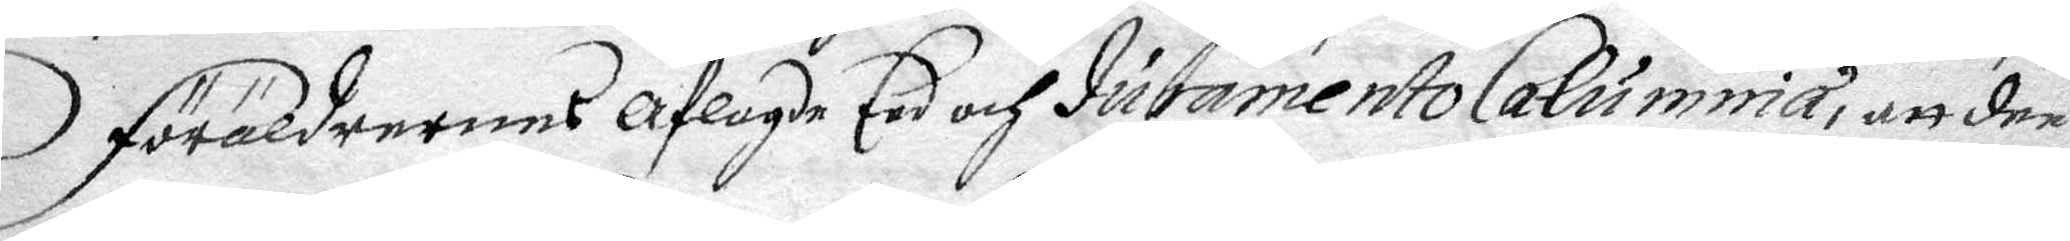Föräldrarnes aflagde Eed och duramento Calumnia, att dee
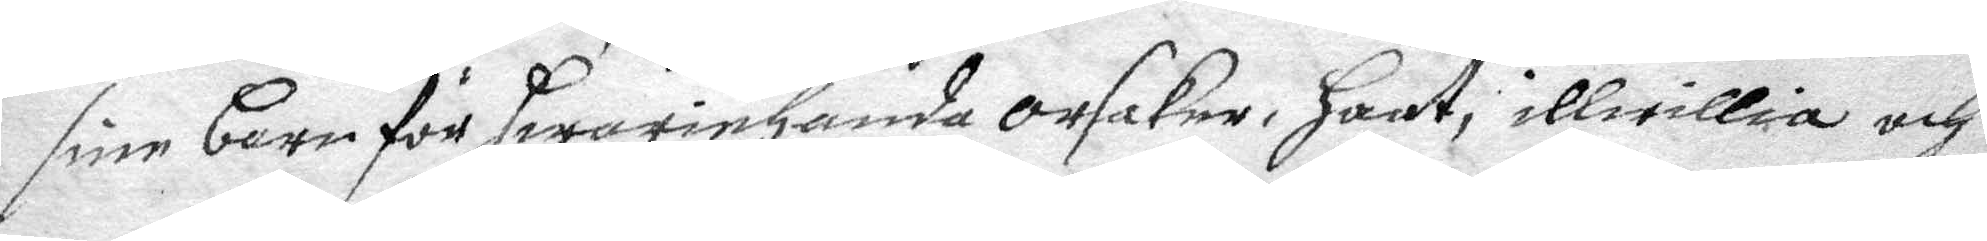sine barn för hwariehanda orsaker, haat, illwillia och
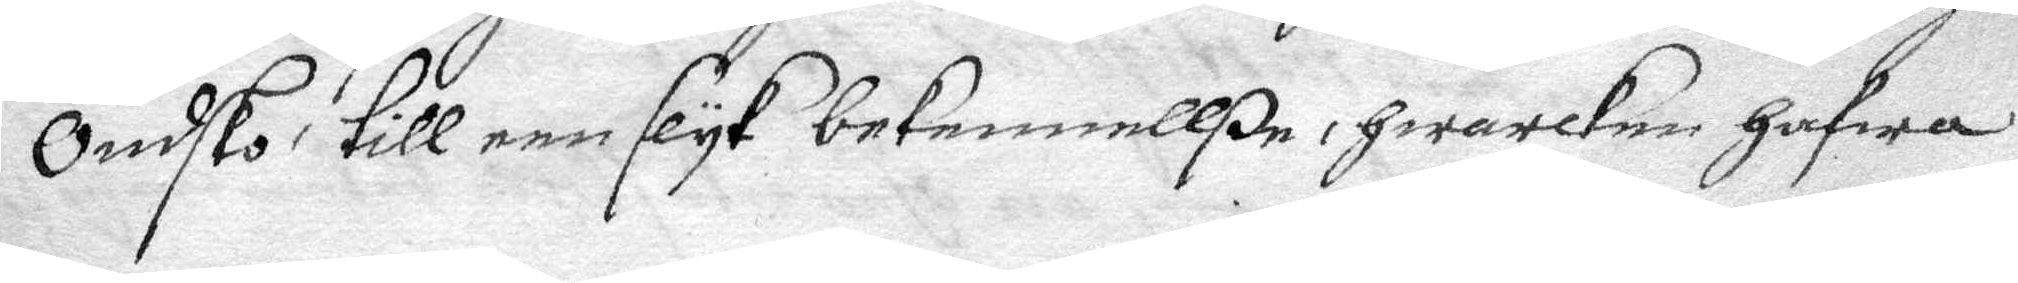ondsko till een slyk bekennellße, hwarken hafwa
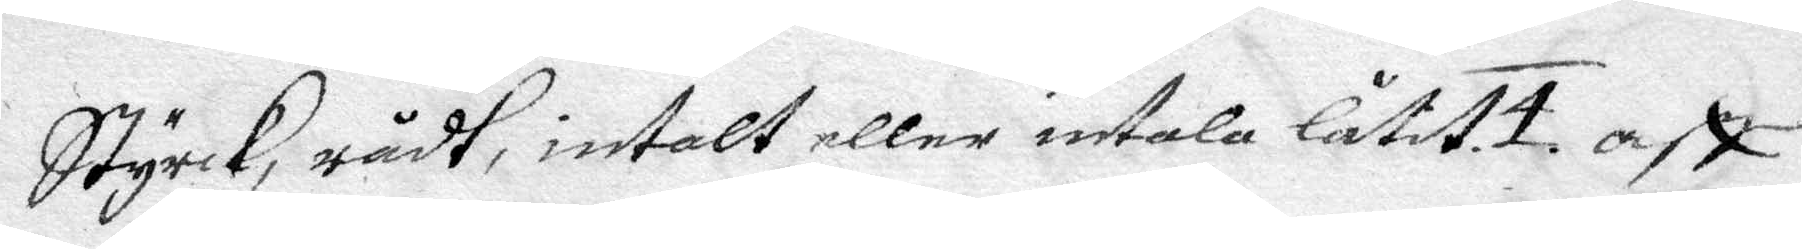styrck, rådt, intalt eller intala låtit. 4. aff
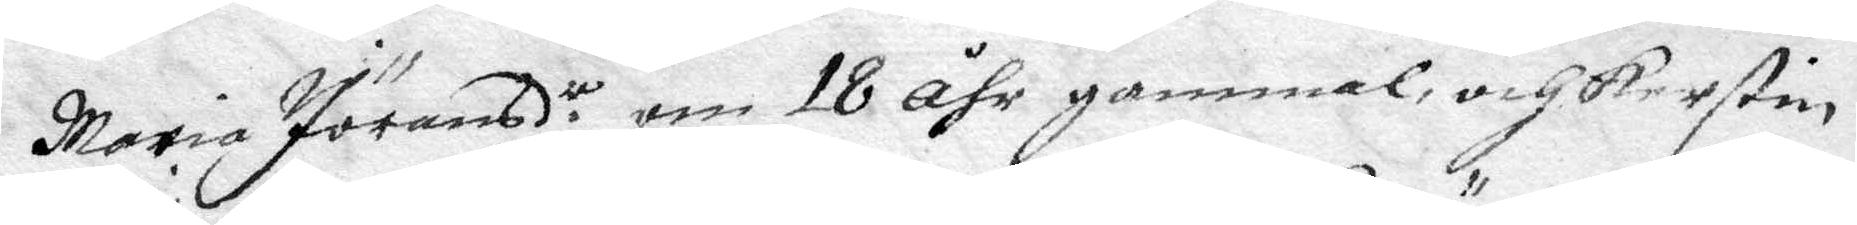Maria Jöransdr, om 18 åhr gammal, och Kerstin
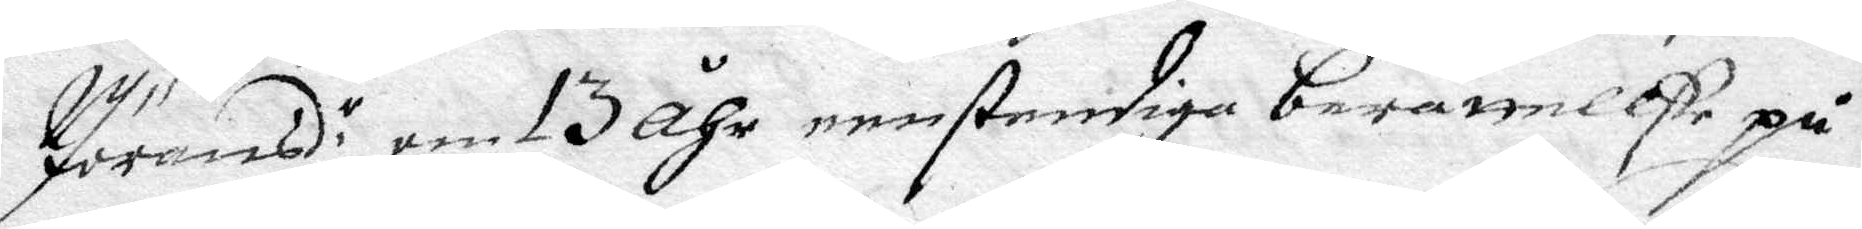Jöransd.r om 13 åhr eenstendiga berättellße på
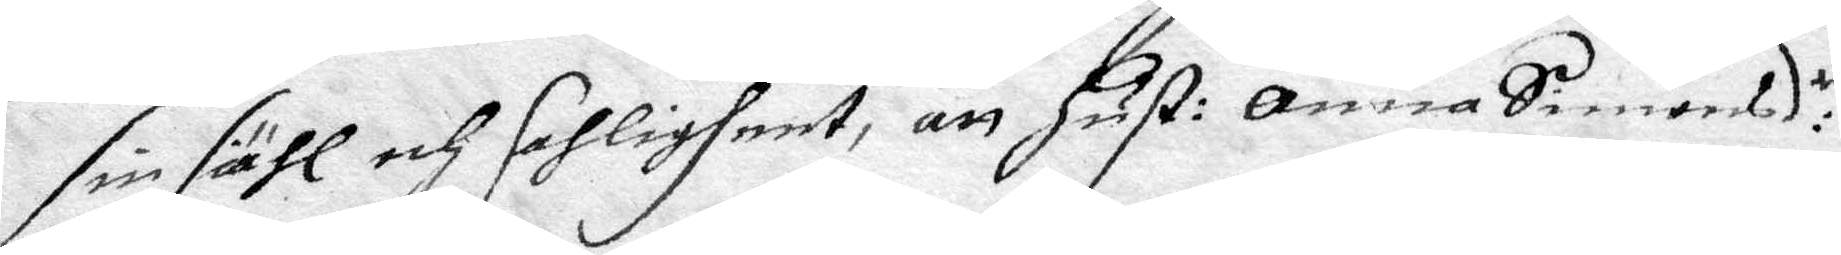sin siähl och sahligheet, att hust: Anna Simonsd:r
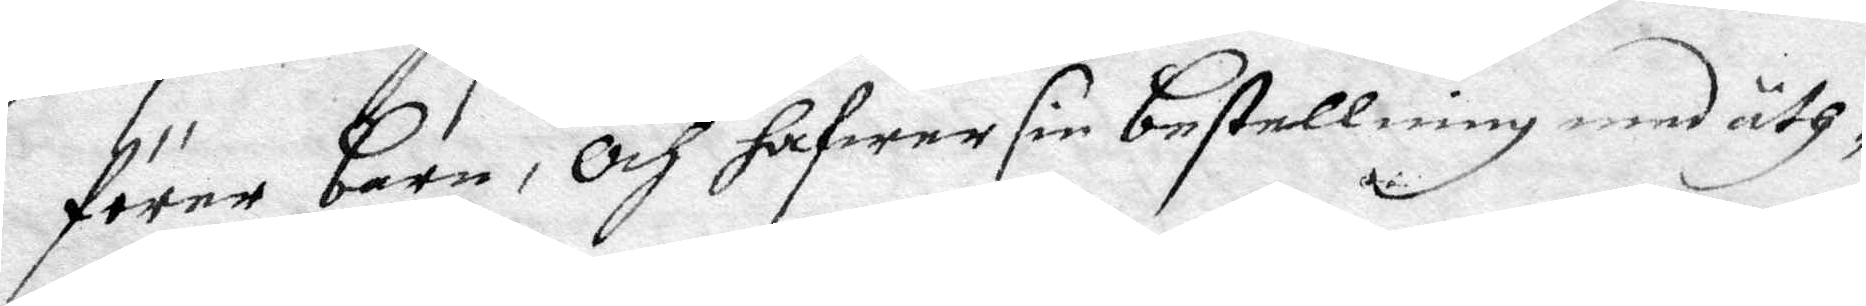förer barn, och hafwer sin bestellning med åth¬
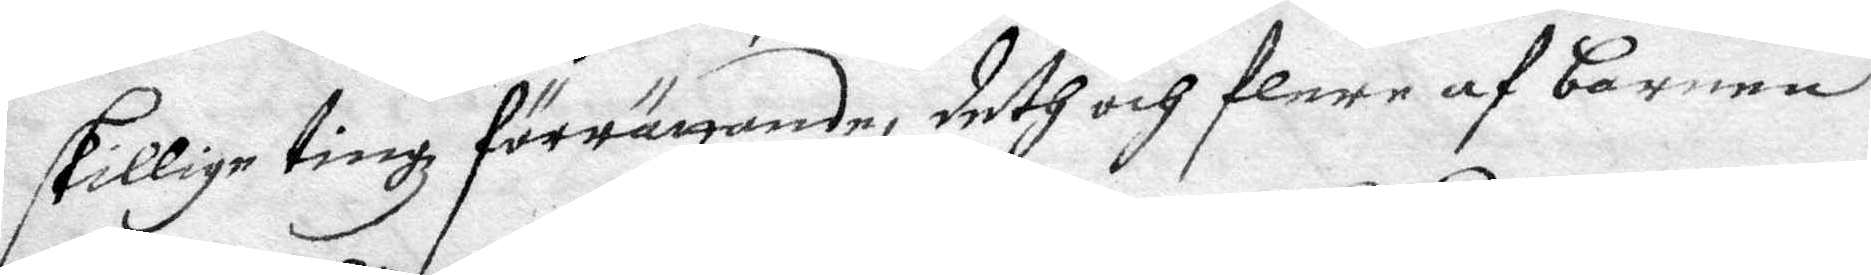skillige tingz förrättande, deth och flere af barnen
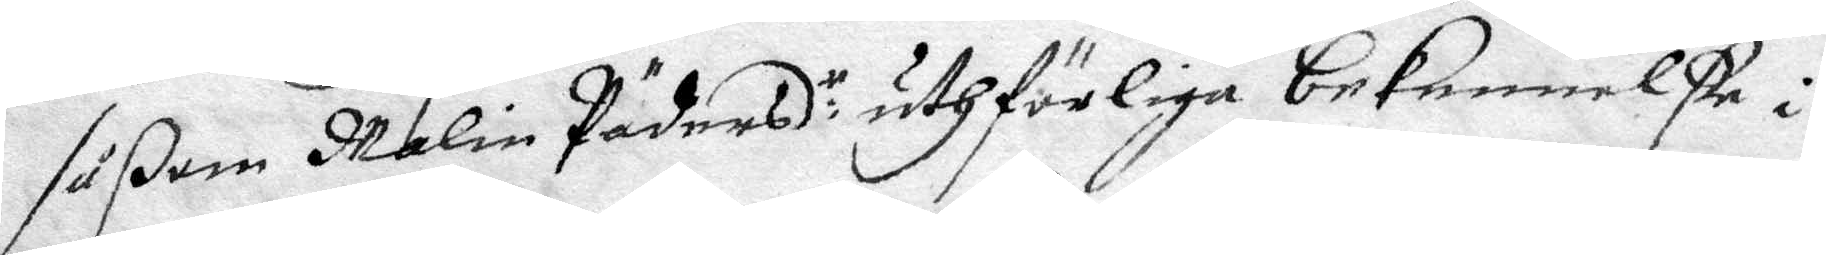såßom Malin Pädersd:r uthförliga bekennellße i
